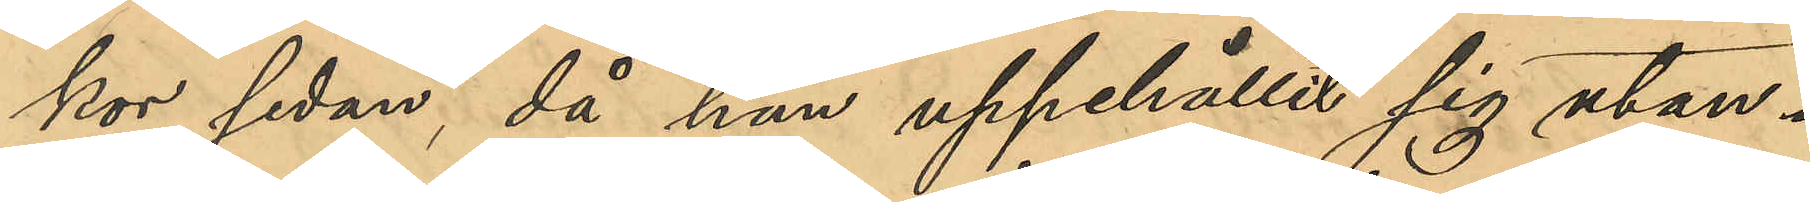kor sedan, då han uppehållit sig utan¬
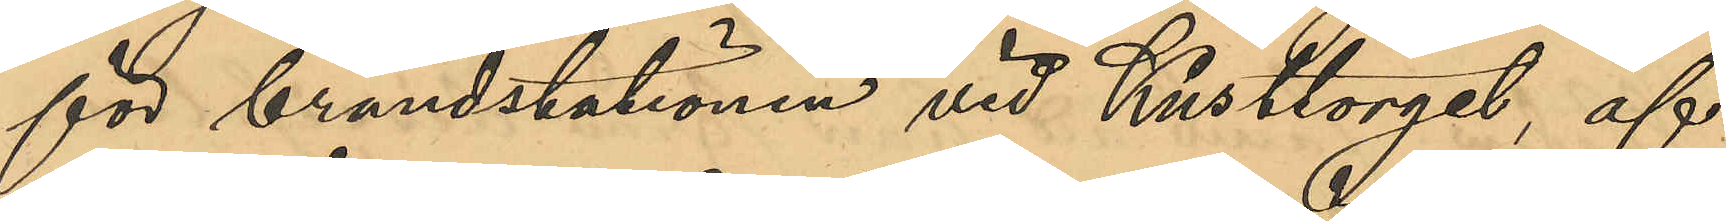för brandstationen vid Kusttorget, af
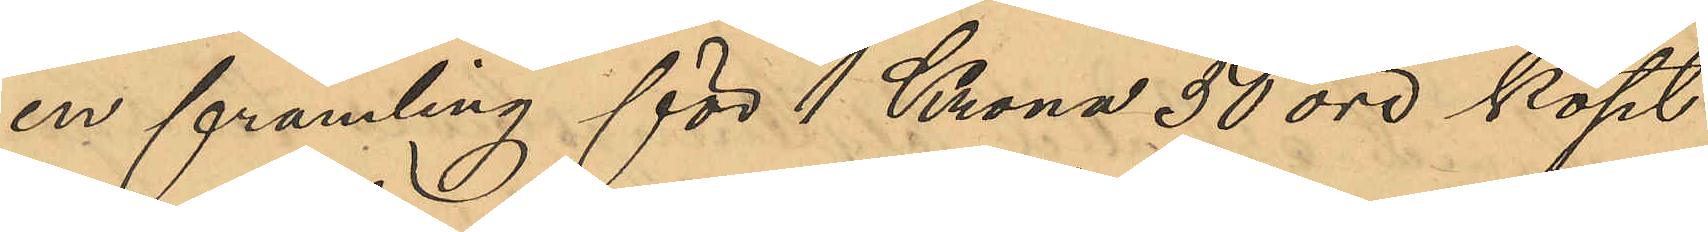en främling för 1 Krona 50 öre köpt
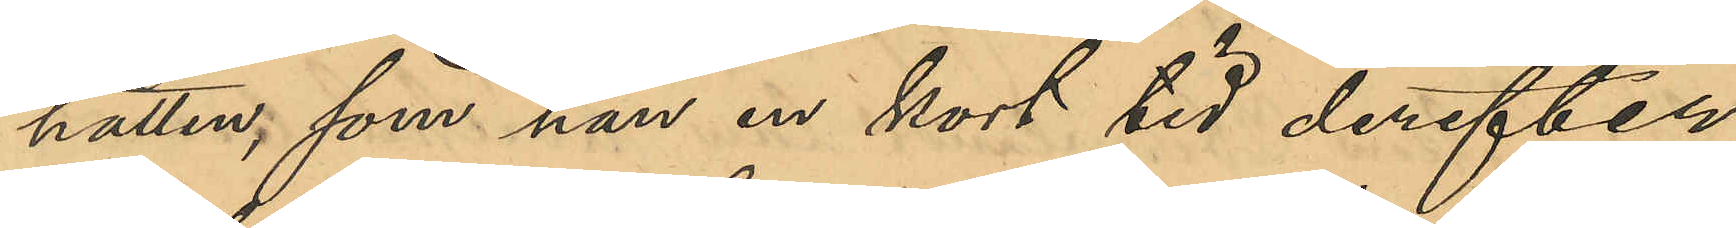hatten, som han en kort tid derefter
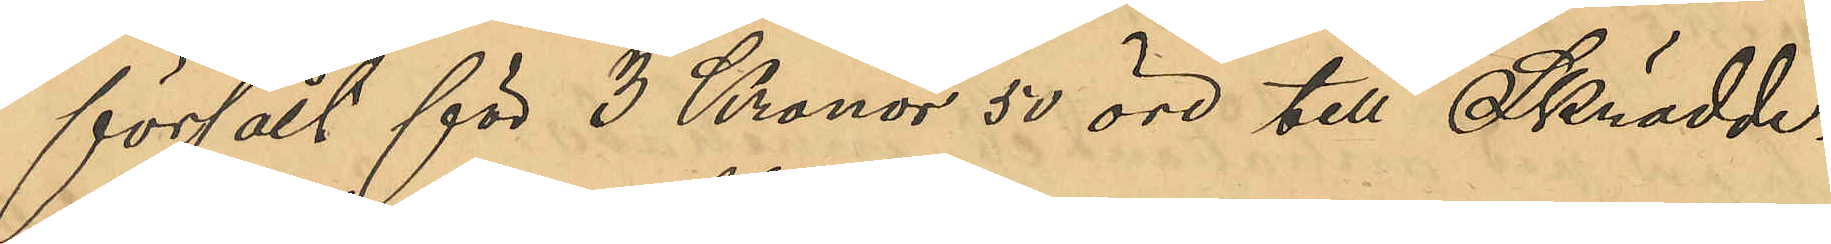försålt för 3 Kronor 50 öre till Skrädde¬
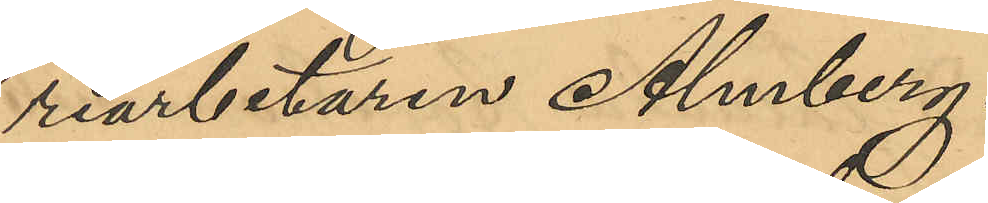riarbetaren Almberg.
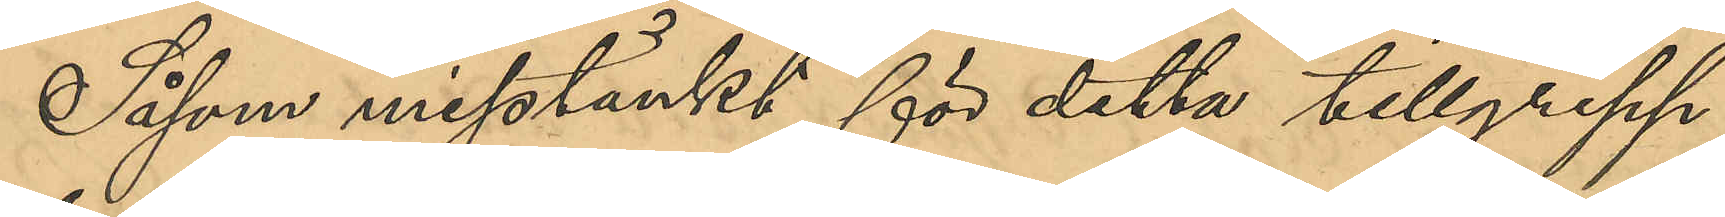Såsom misstänkt för detta tillgrepp
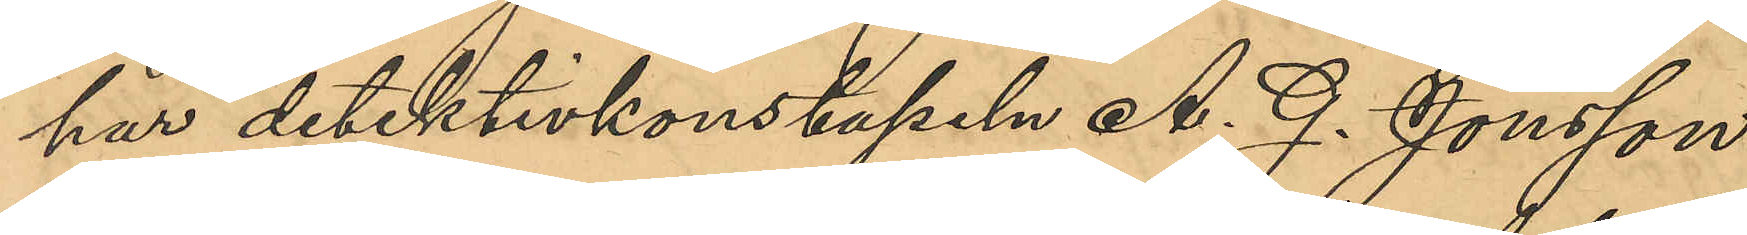har detektivkonstapeln A. G. Jönsson
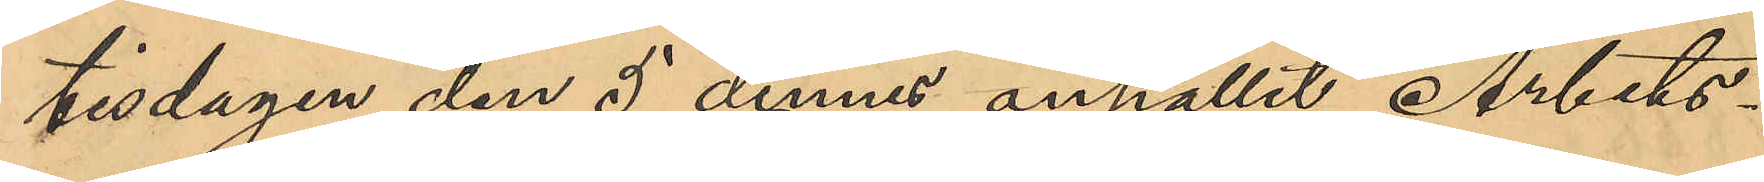tisdagen den 5 dennes anhållit Arbets¬
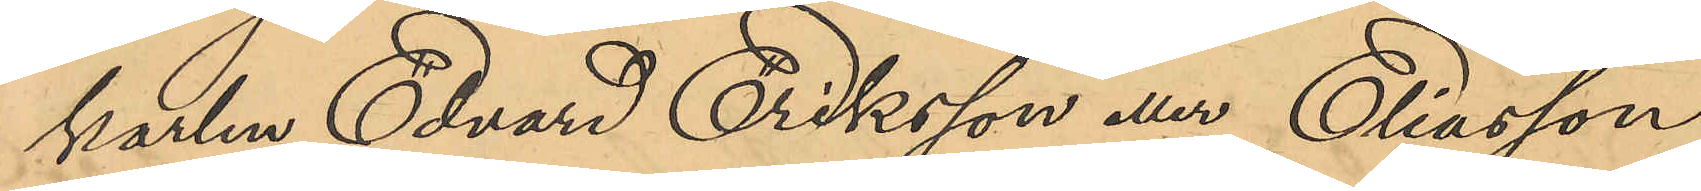karlen Edvard Eriksson eller Eliasson
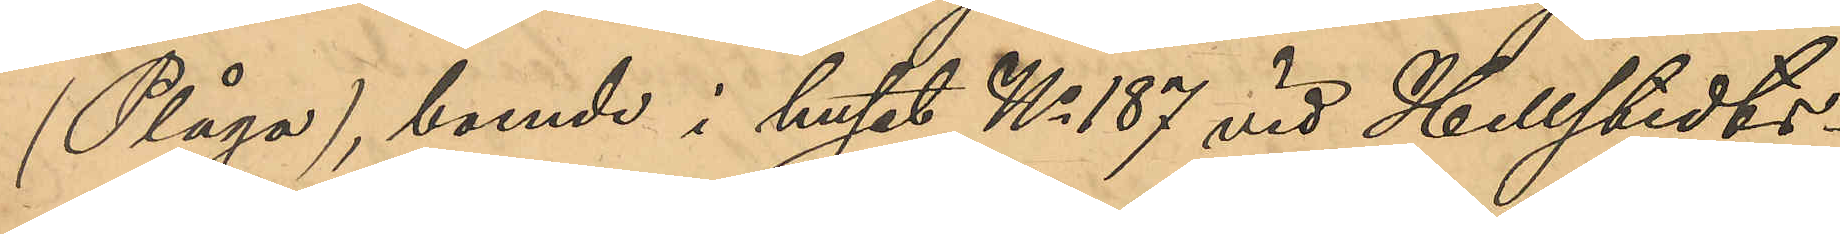(Plåga), boende i huset No 187 vid Hellstedts¬
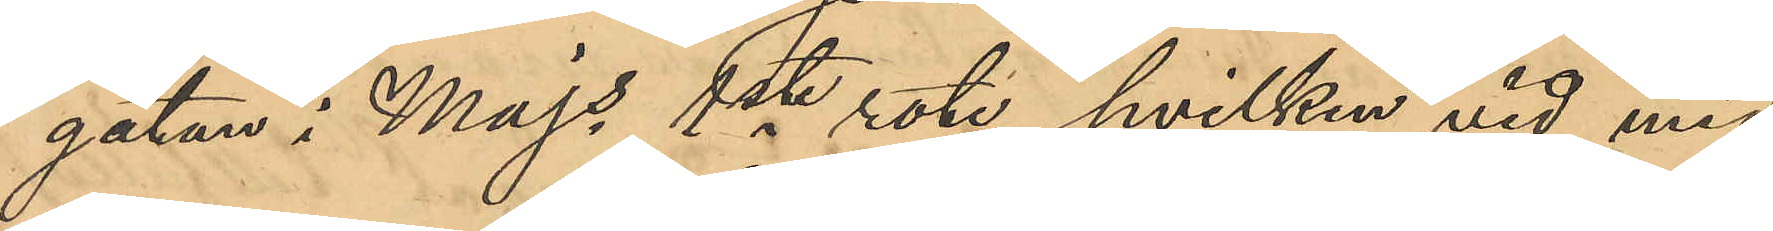gatan i Majs 1ste rote, hvilken vid med
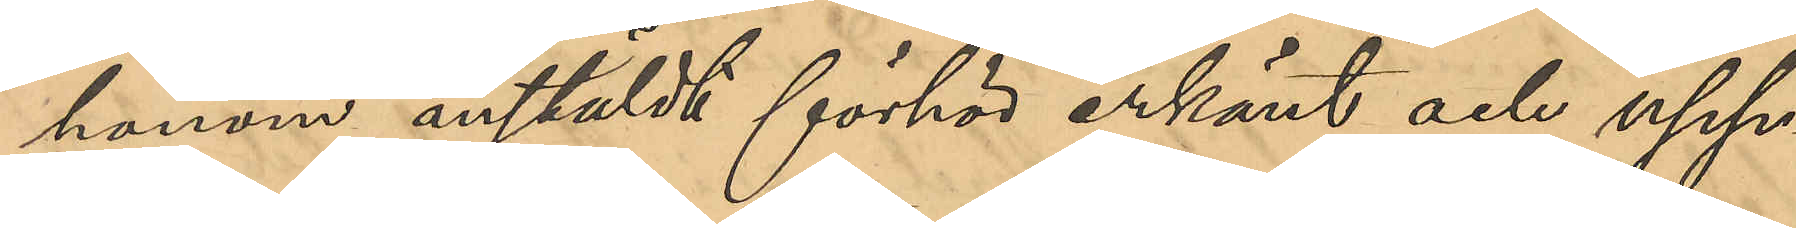honom anstäldt förhör erkänt och upp¬
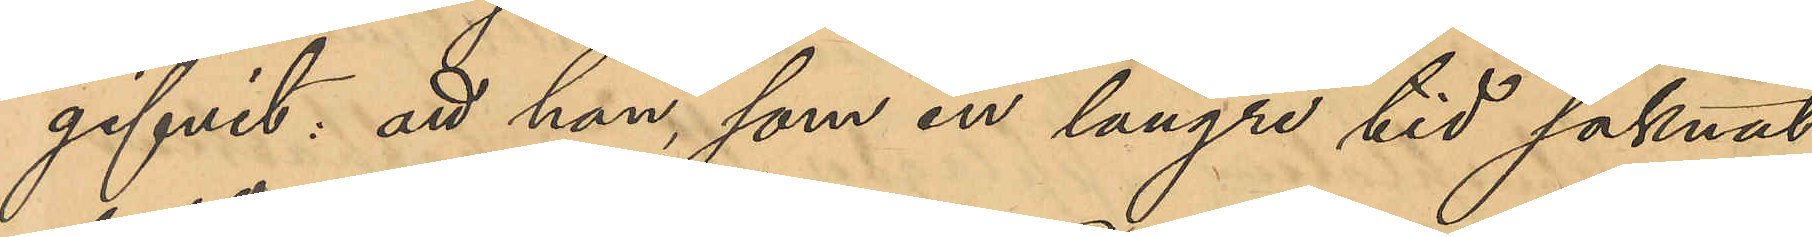gifvit: att han, som en längre tid saknat
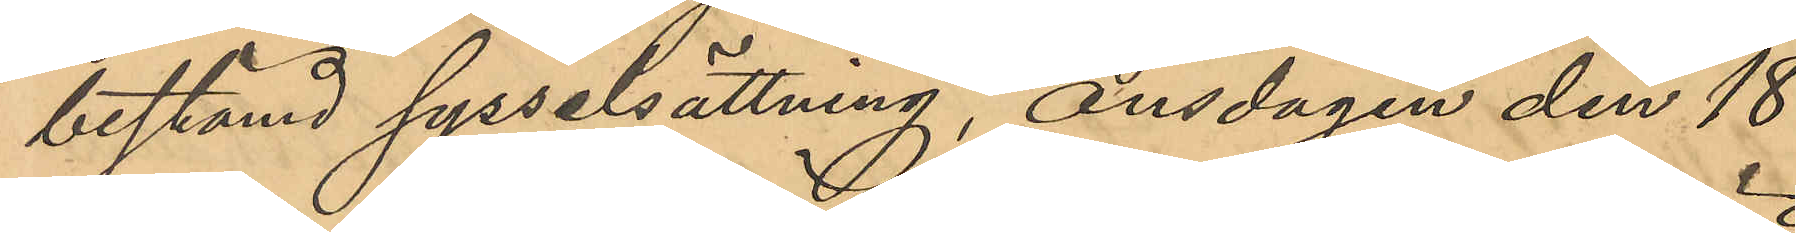bestämd sysselsättning, Onsdagen den 18
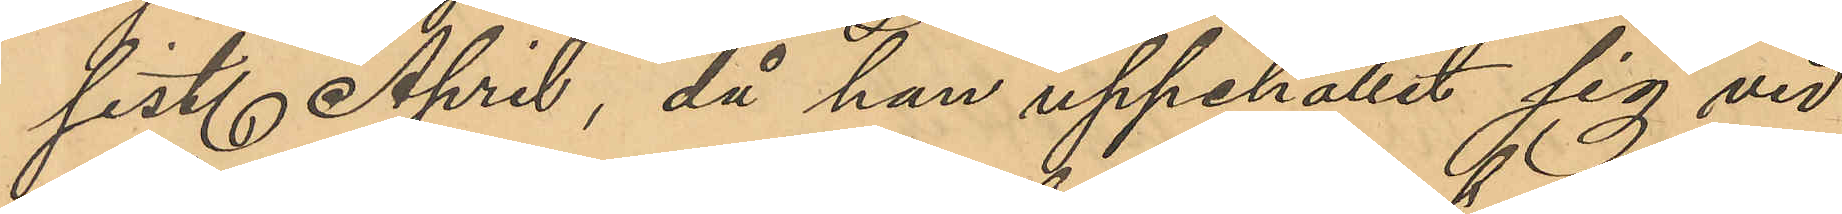sist. April, då han uppehållit sig vid
